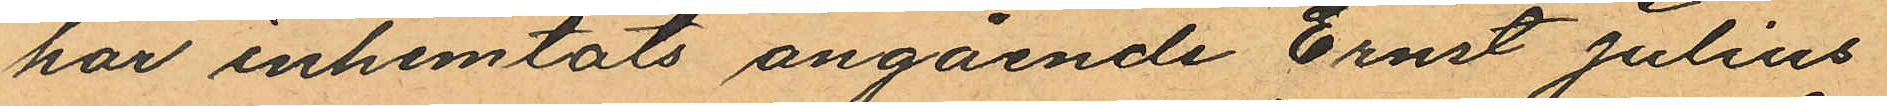har inhemtats angående Ernst Julius
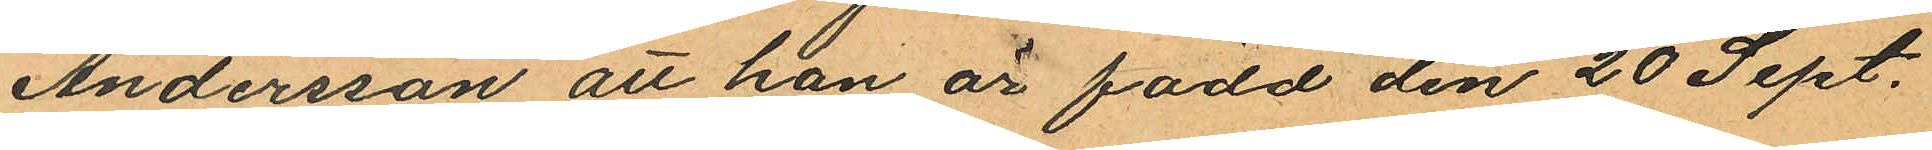Andersson att han är född den 20 Sept.
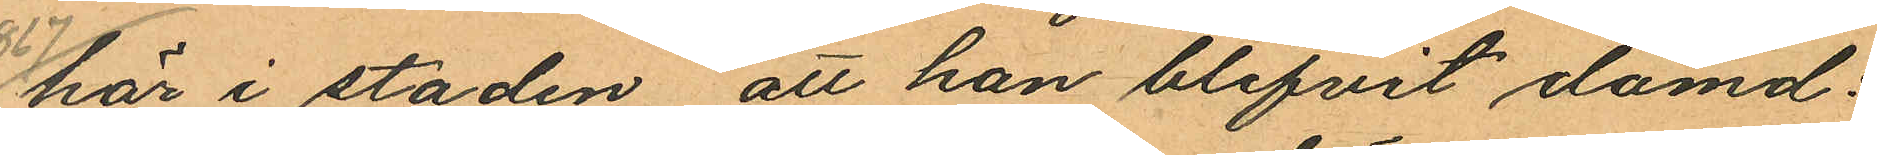1867 här i staden, att han blifvit dömd:
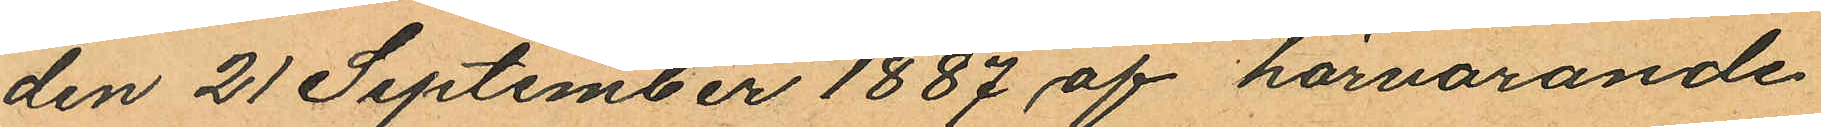den 21 September 1887 af härvarande
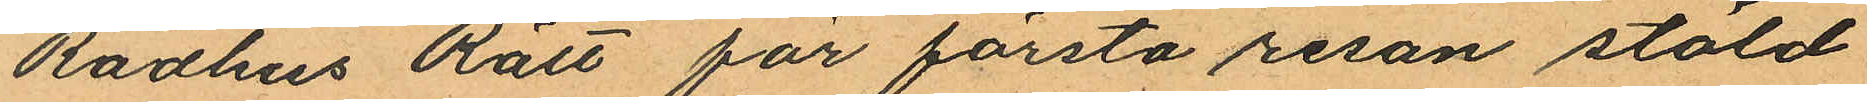Rådhus Rätt för första resan stöld
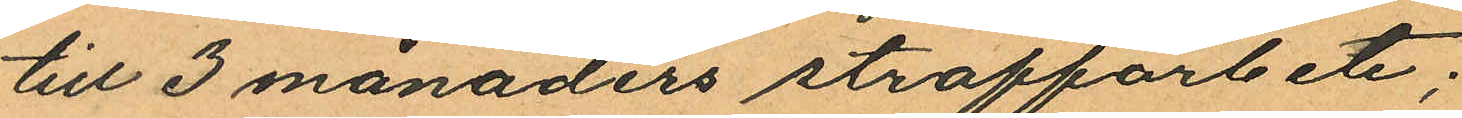till 3 månaders straffarbete;
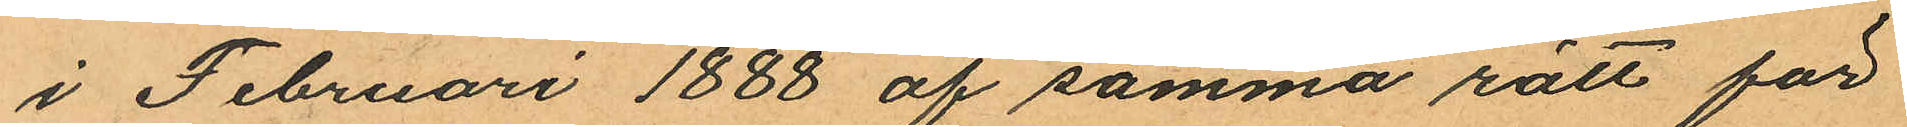i Februari 1888 af samma rätt för
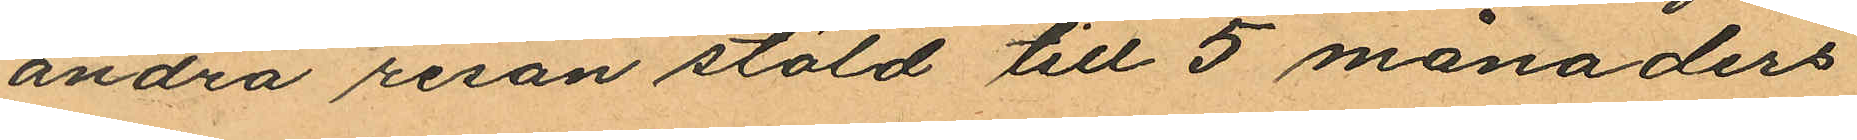andra resan stöld till 5 månaders
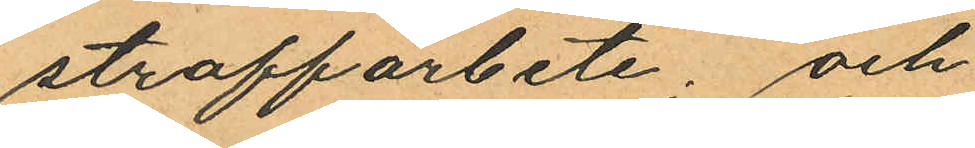straffarbete; och
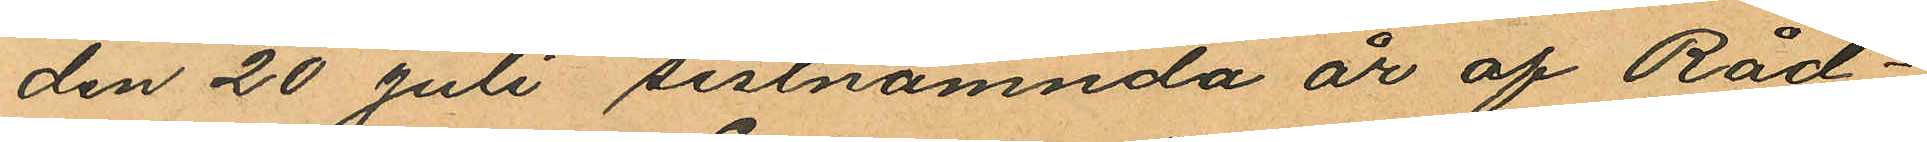den 20 Juli sistnämnda år af Råd¬
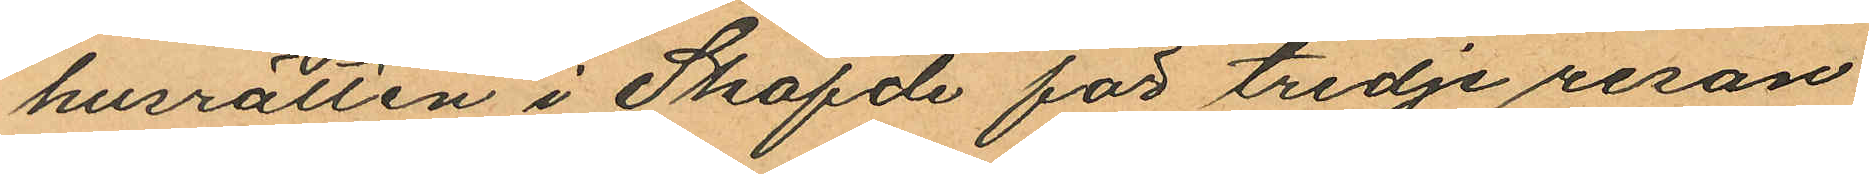husrätten i Sköfde för tredje resan
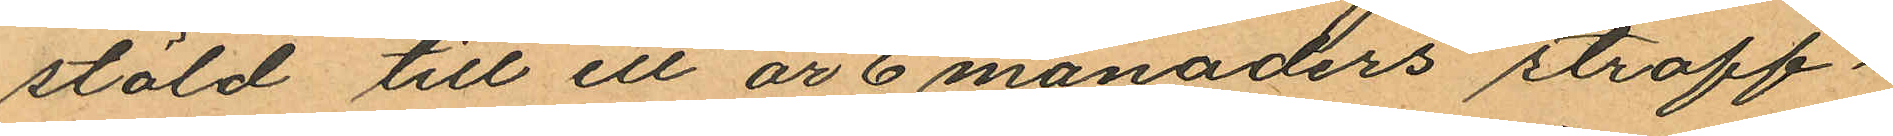stöld till ett år 6 månaders straff¬
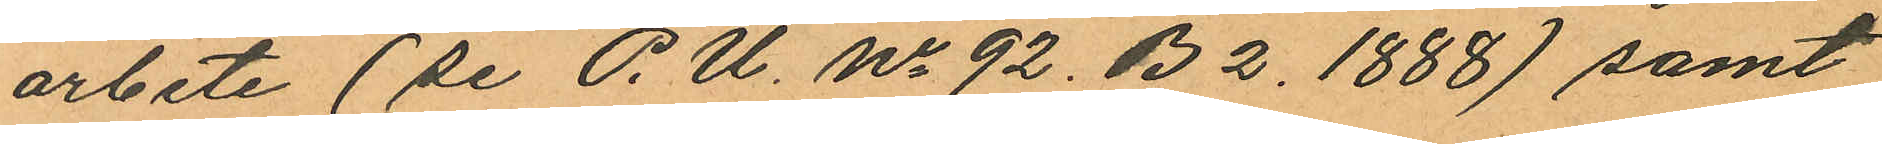arbete (se P. U. No 92. B 2. 1888) samt
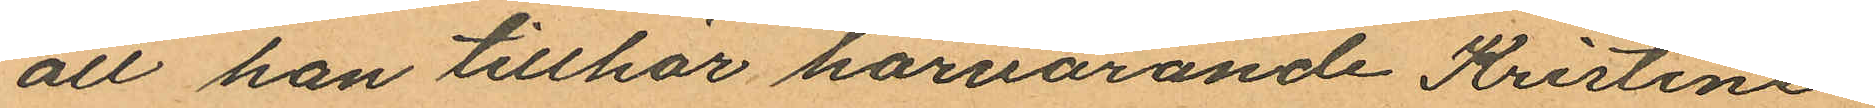att han tillhör härvarande Kristine
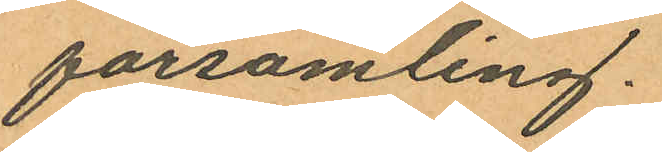församling.
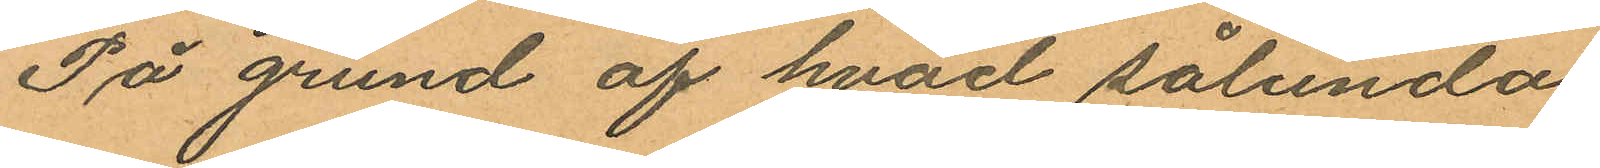På grund af hvad sålunda
